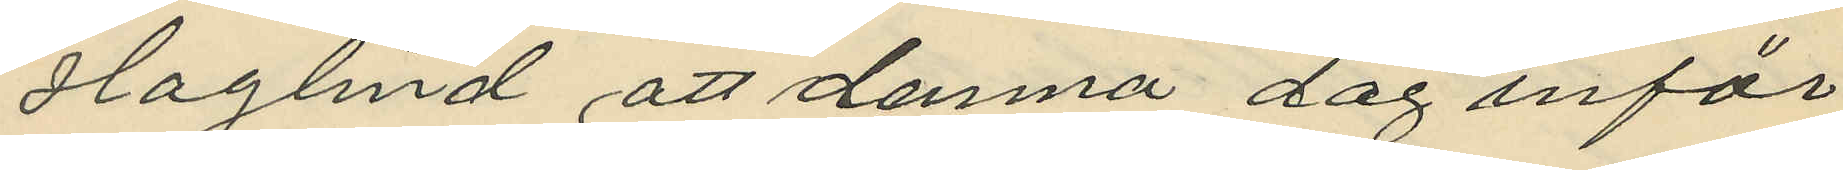Haglind att denna dag inför
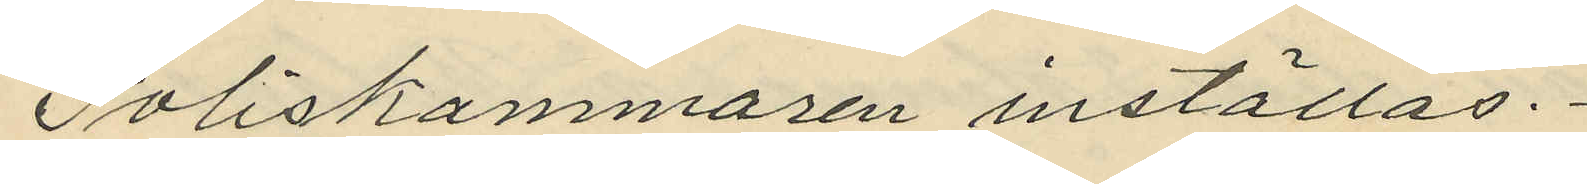Poliskammaren inställas.
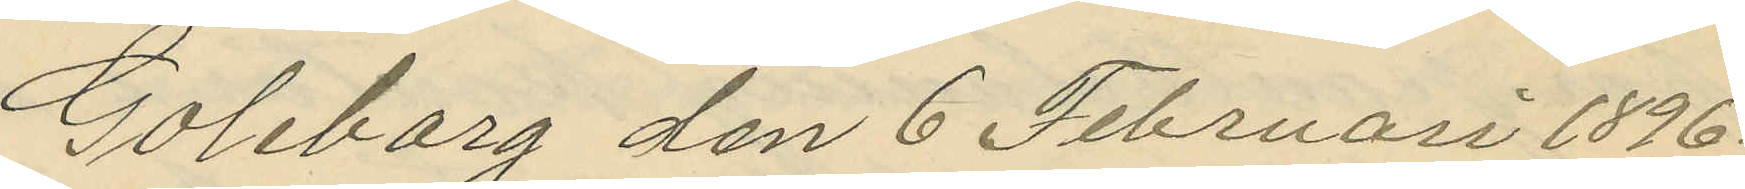Göteborg den 6 Februari 1896.
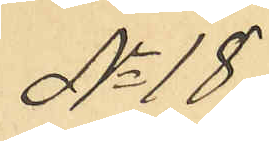No 18
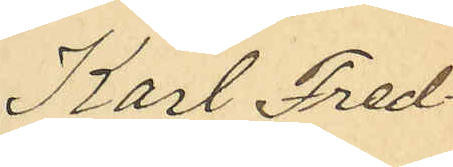Karl Fred¬
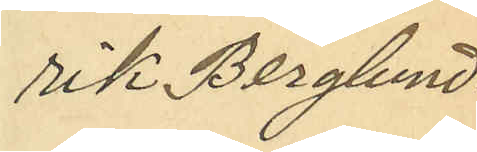rik Berglund
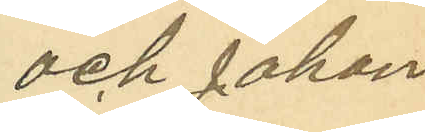och Johan
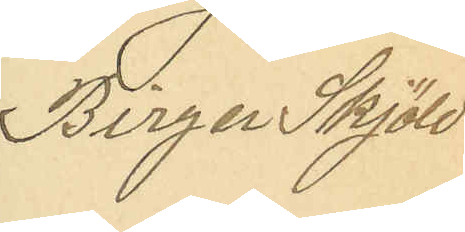Birger Skjöld
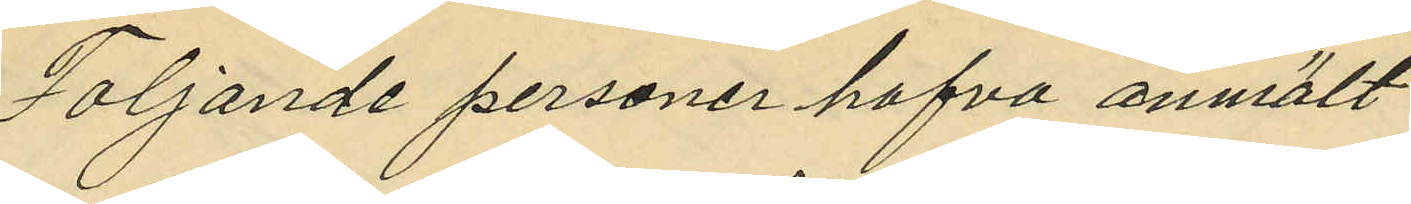Följande personer hafva anmält:
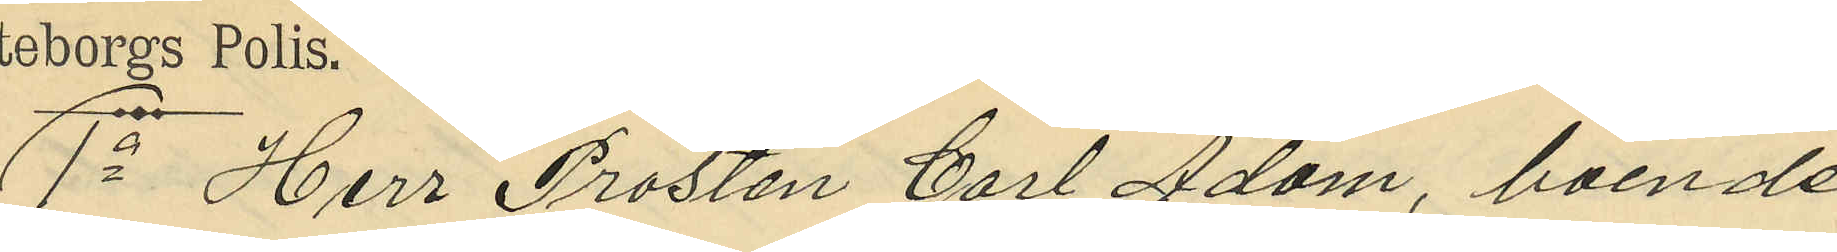1a Herr Prosten Carl Adam, boende
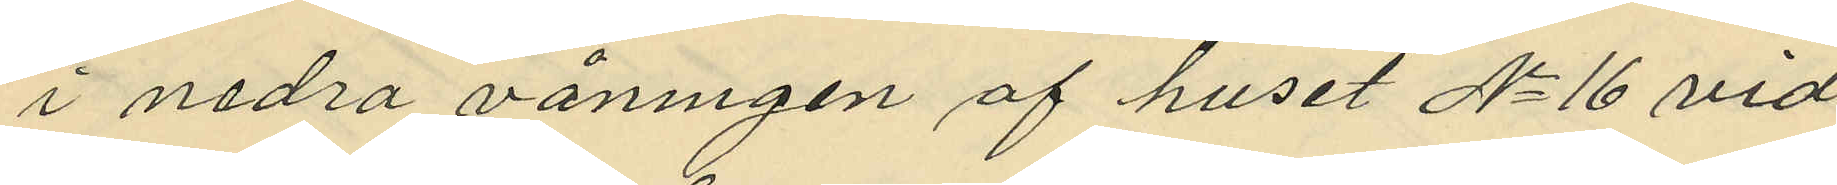i nedra våningen af huset No 16 vid
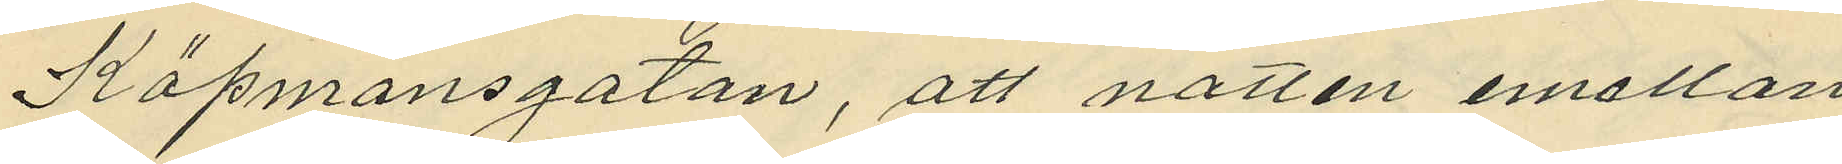Köpmansgatan, att natten mellan
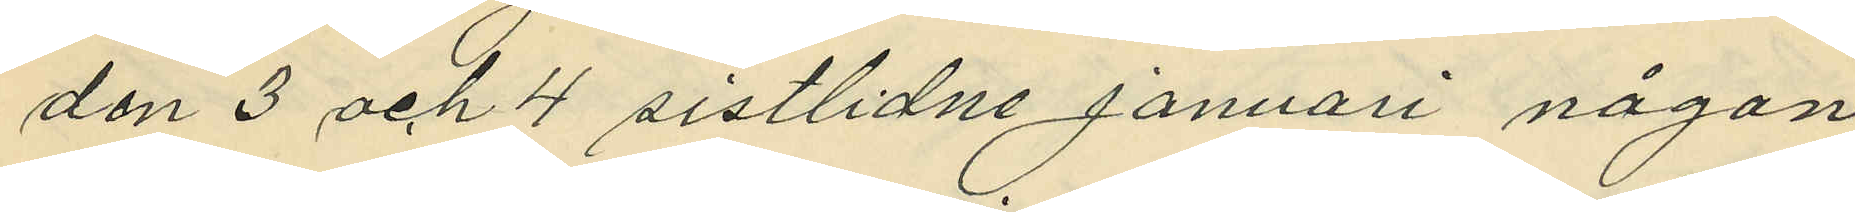den 3 och 4 sistlidne januari någon
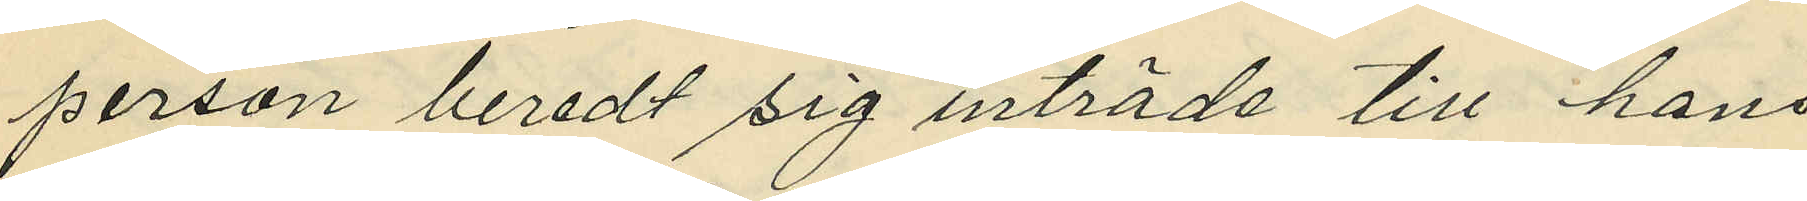person beredt sig inträde till hans
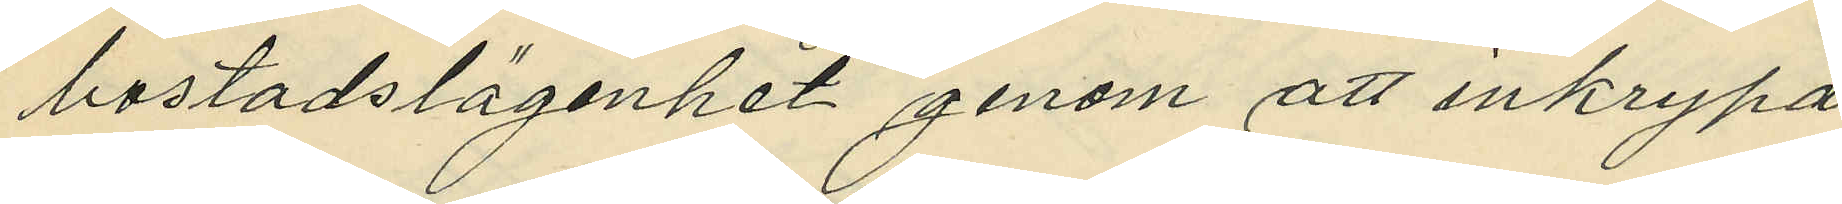bostadslägenhet genom att inkrypa
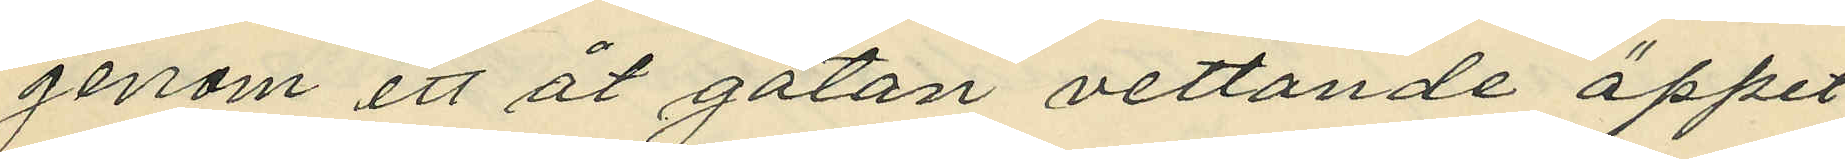genom ett åt gatan vettande öppet
